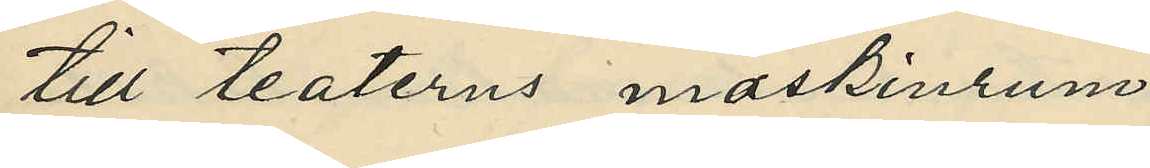till teaterns maskinrum.
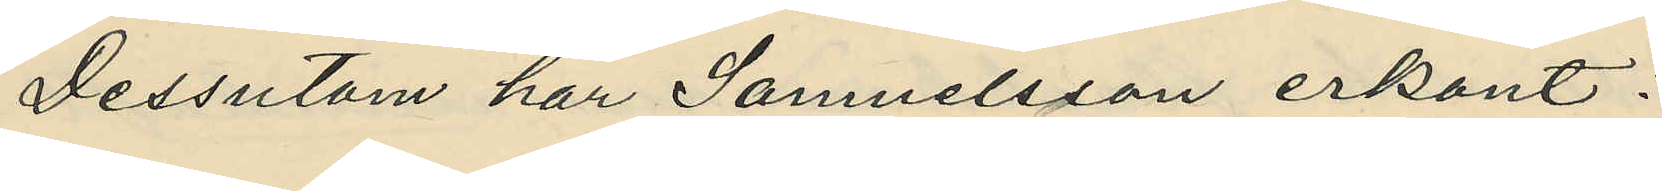Dessutom har Samuelsson erkänt:
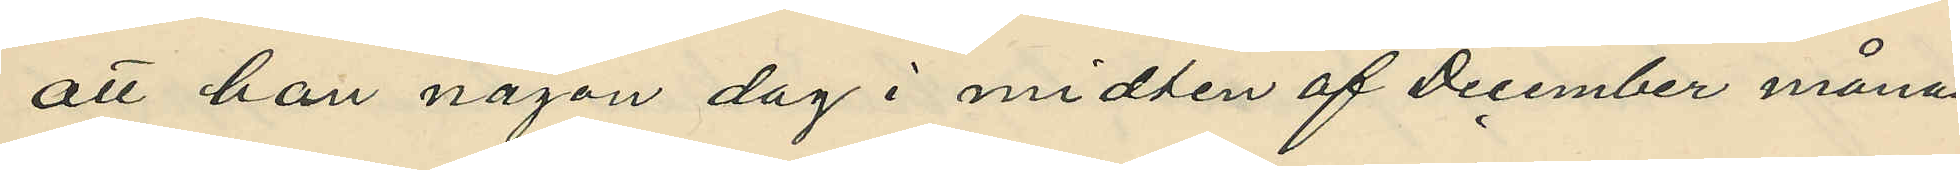att han någon dag i midten af December månad
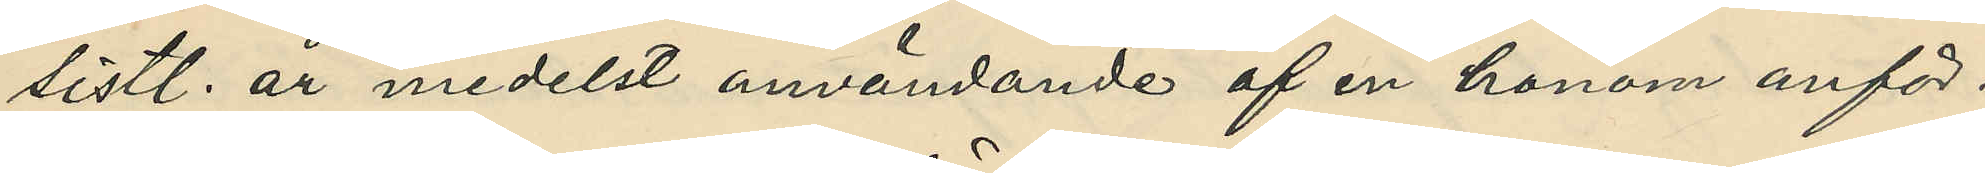sistl. år medelst användande af en honom anför¬
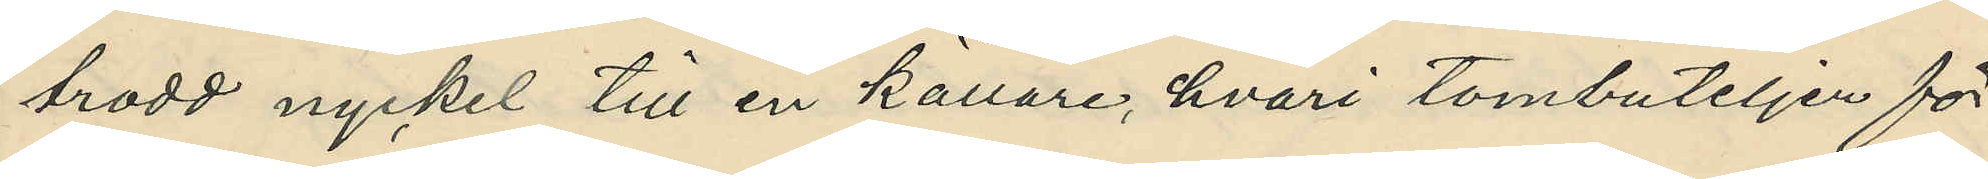trodd nyckel till en källare, hvari tombuteljer för¬
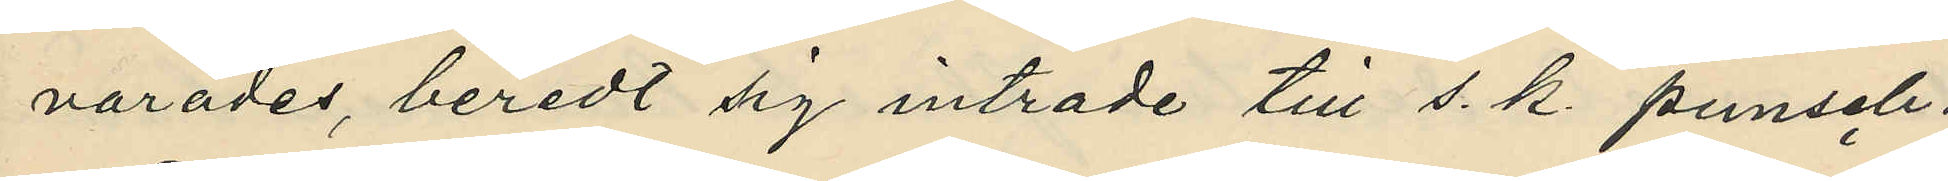varades, beredt sig intrade till s. k. punsch¬
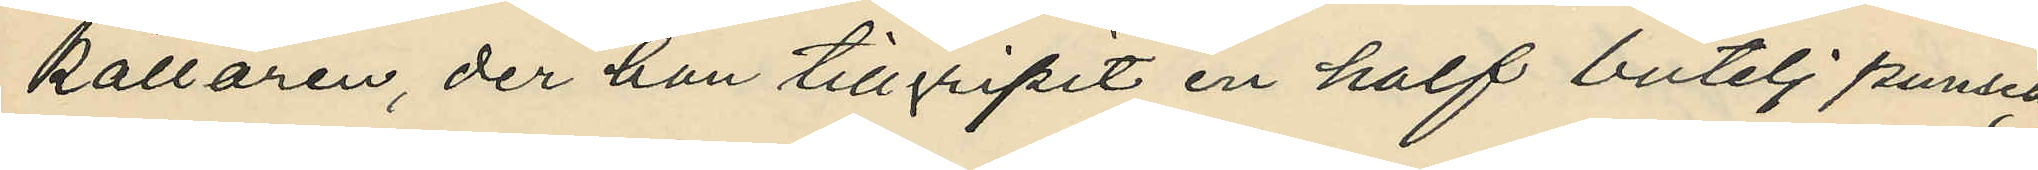källaren, der han tillgripit en half butelj punsch;
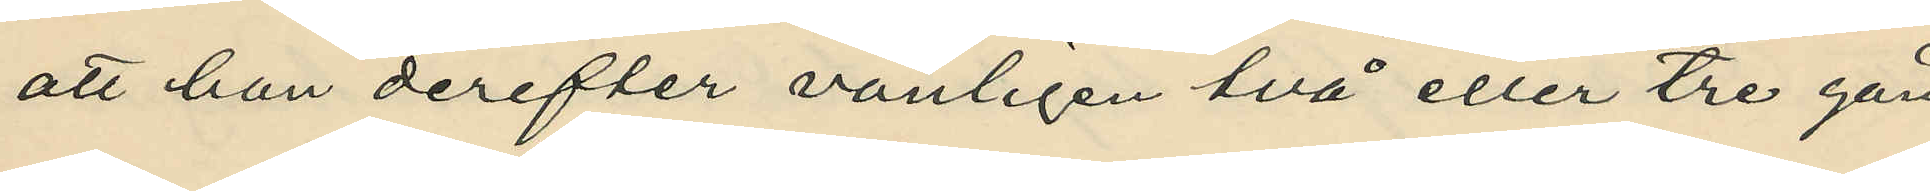att han derefter vanligen två eller tre gån¬
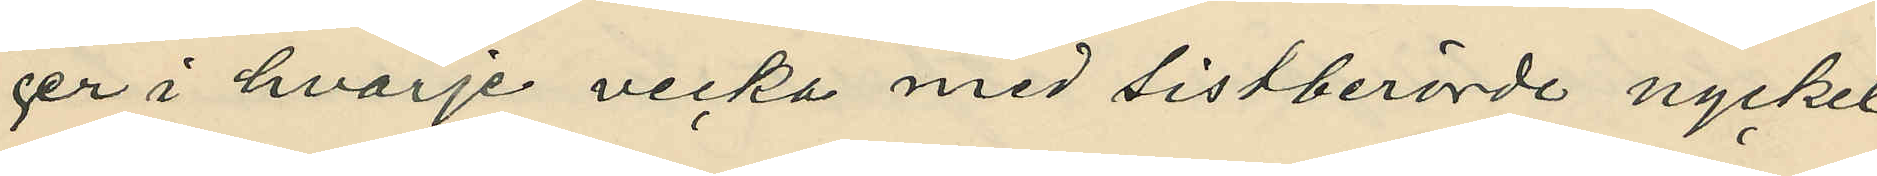ger i hvarje vecka med sistberörde nyckel
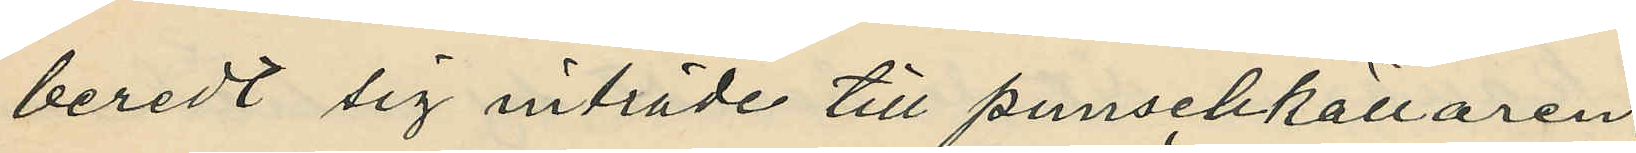beredt sig inträde till punschkällaren;
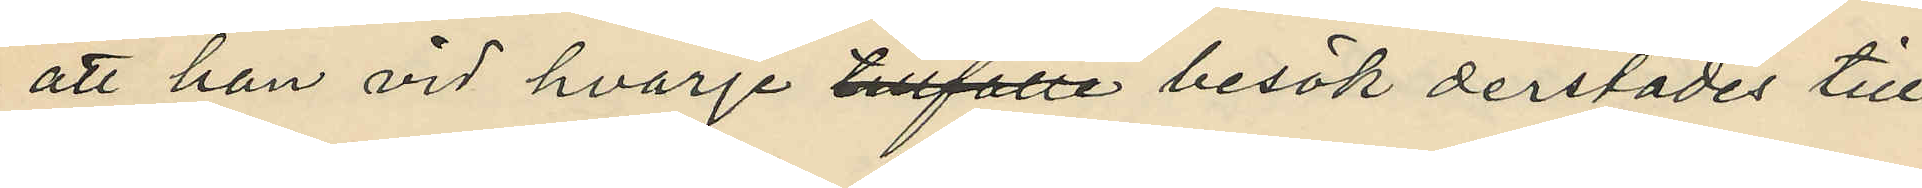att han vid hvarje tillfälle besök derstädes till¬
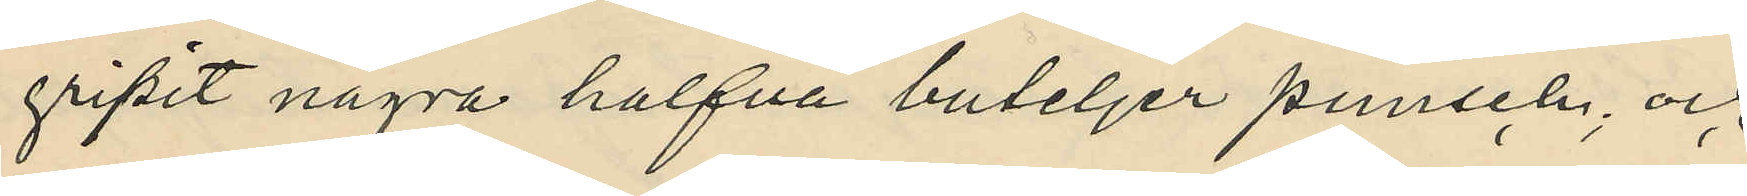gripit några halfva buteljer punsch; och
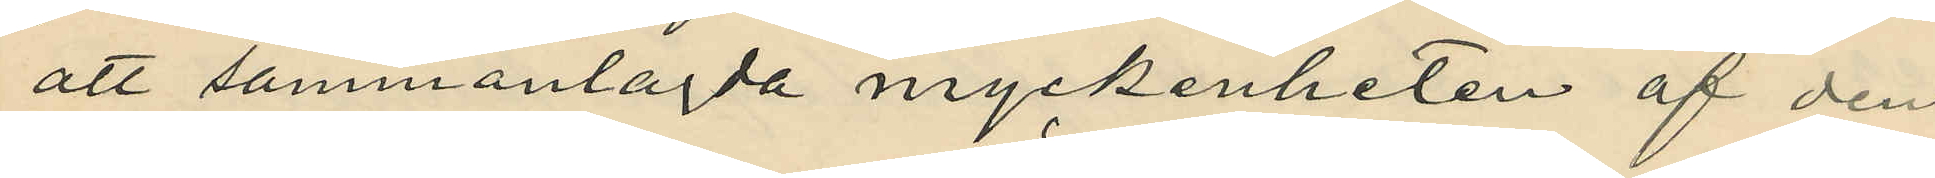att sammanlagda myckenheten af den
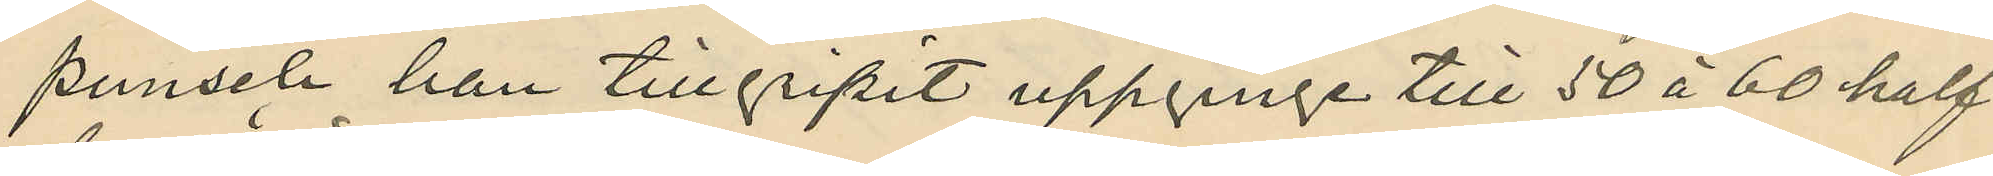punsch han tillgripit uppginge till 50 à 60 half¬
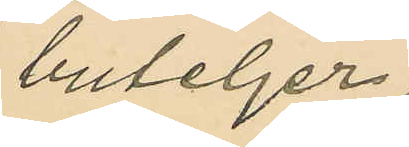buteljer;
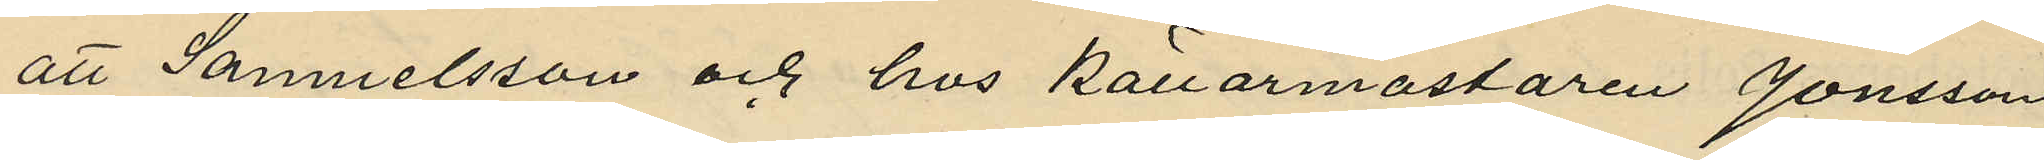att Samuelsson och hos källarmästaren Jönsson
